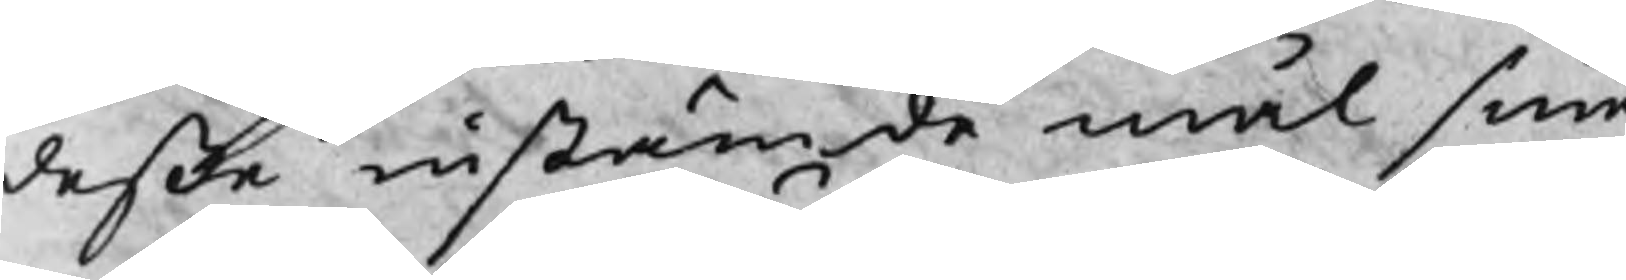deße instämde mål sine
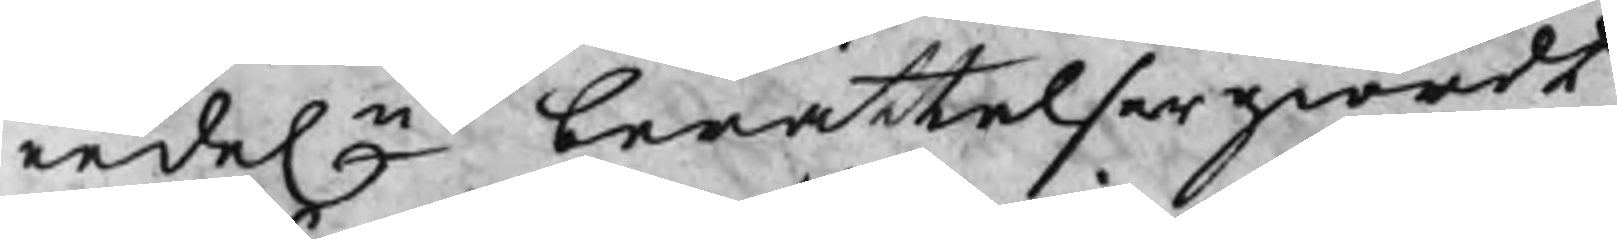eedeln berättelser giordt
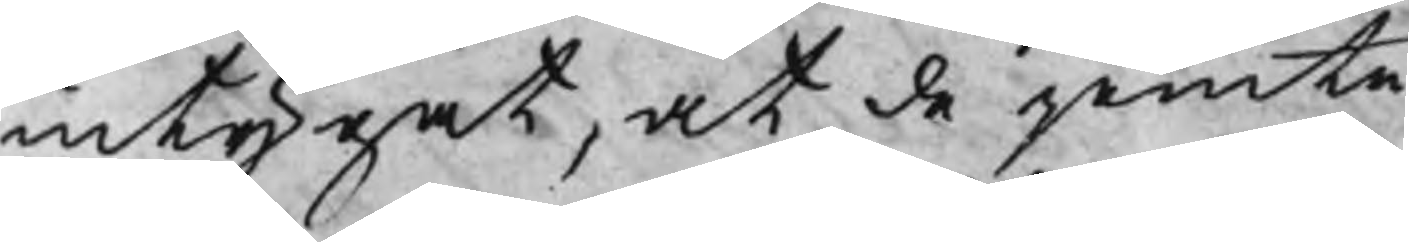intygat, at de jemte
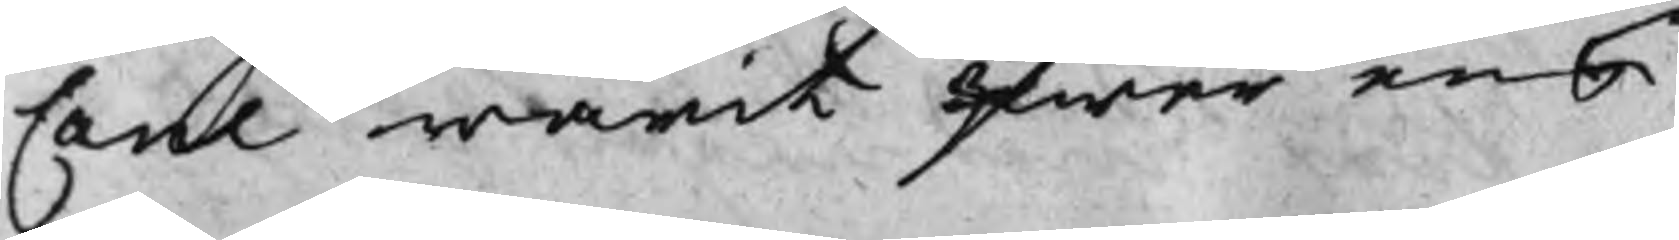Cane warit qwar enl
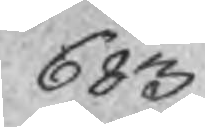683
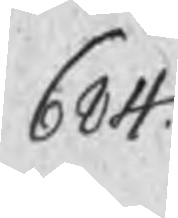684
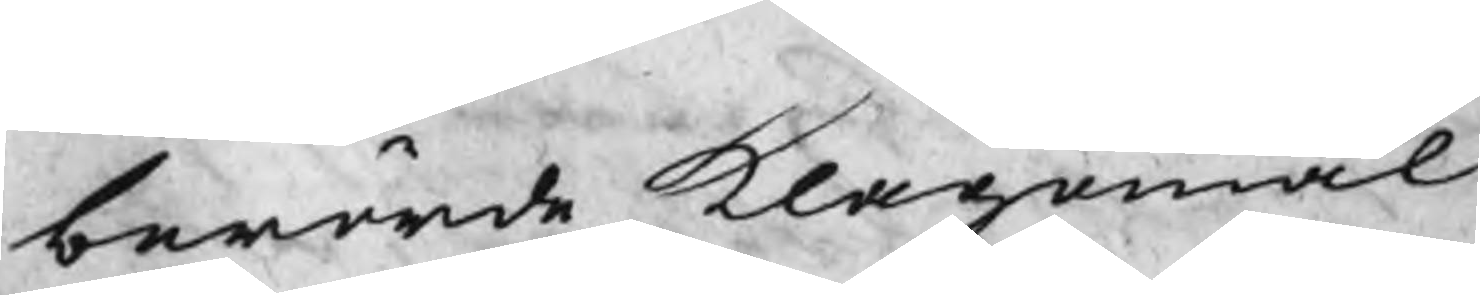berörde klagomål
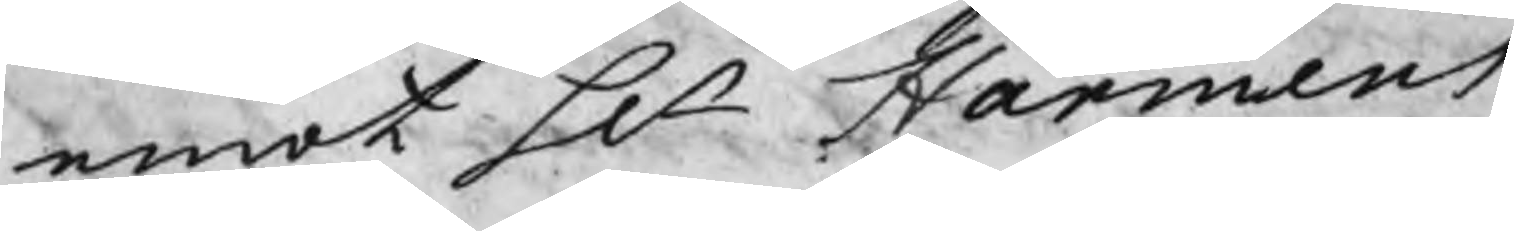emot Hr Harmens
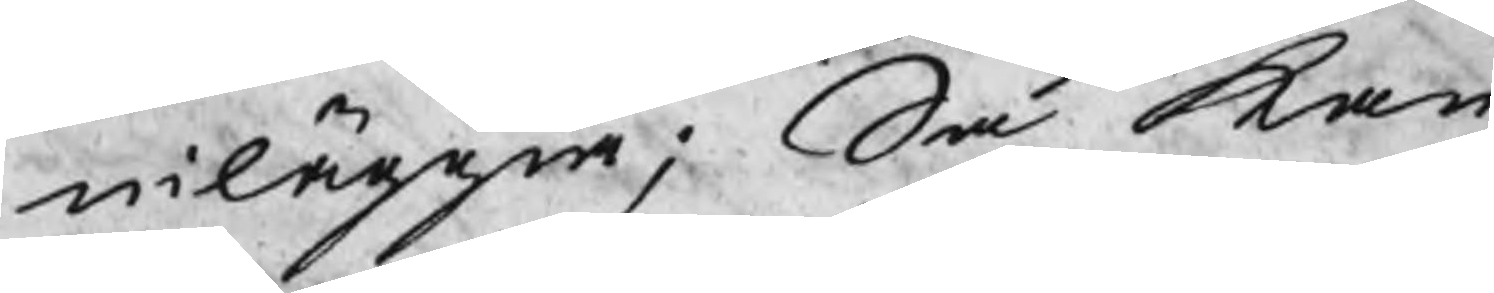inläggia; Så kan
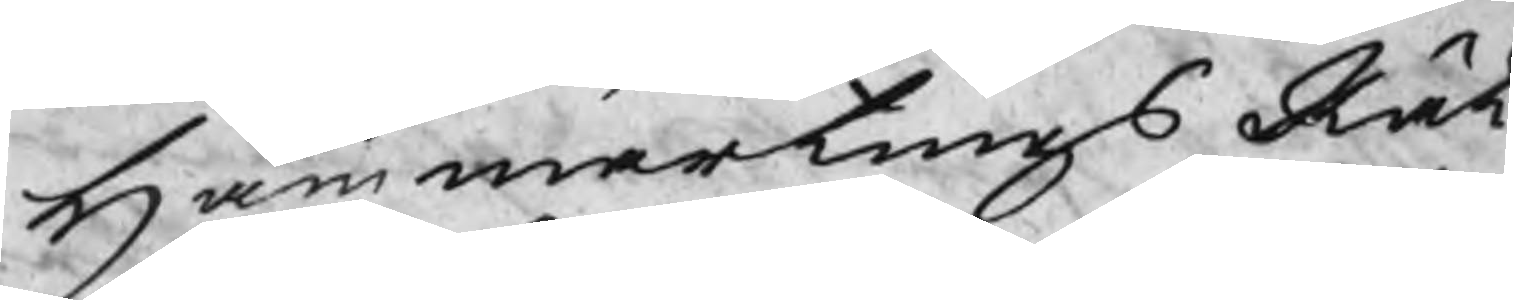HammartingsRät¬
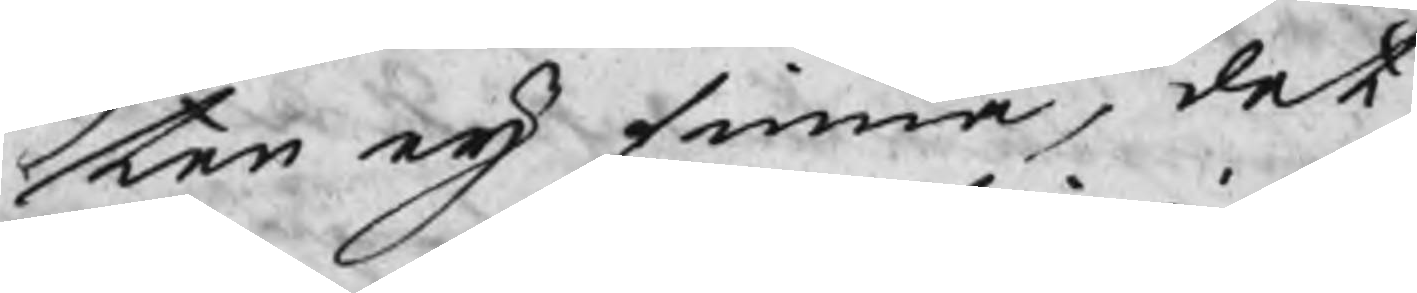ten eij finna, det
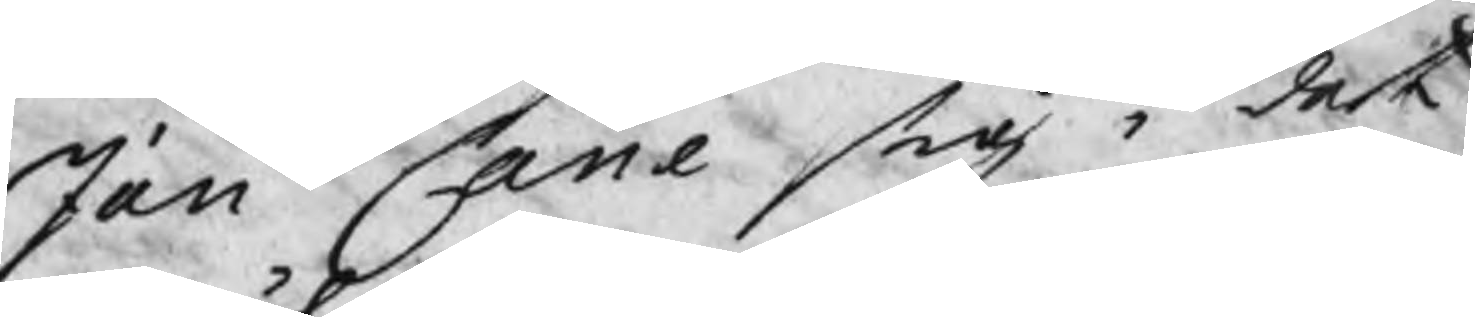Jan Cane sig i det
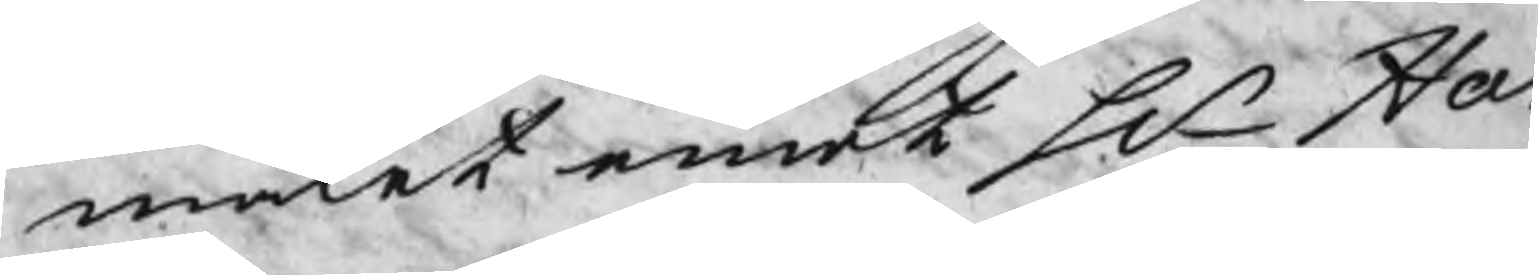målet emot Hr Ha
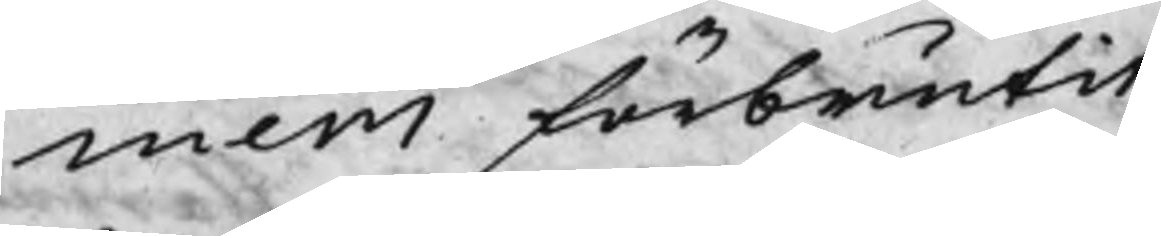mens förbrutit
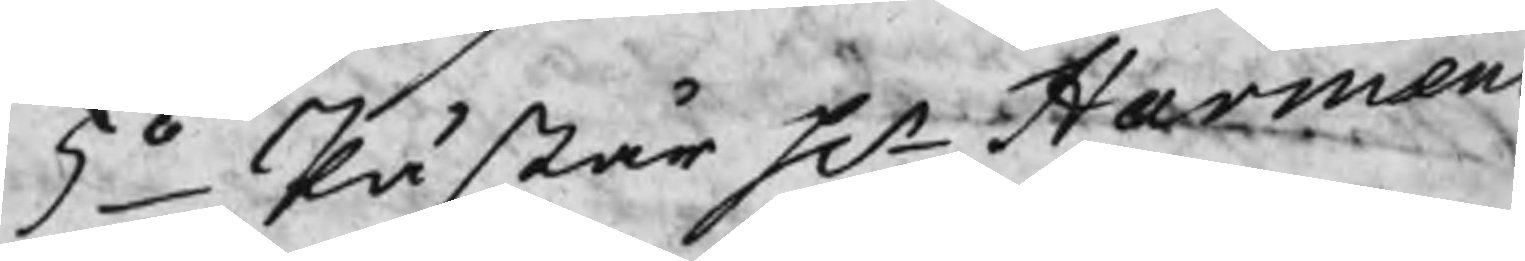5o Påstår Hr Harmens
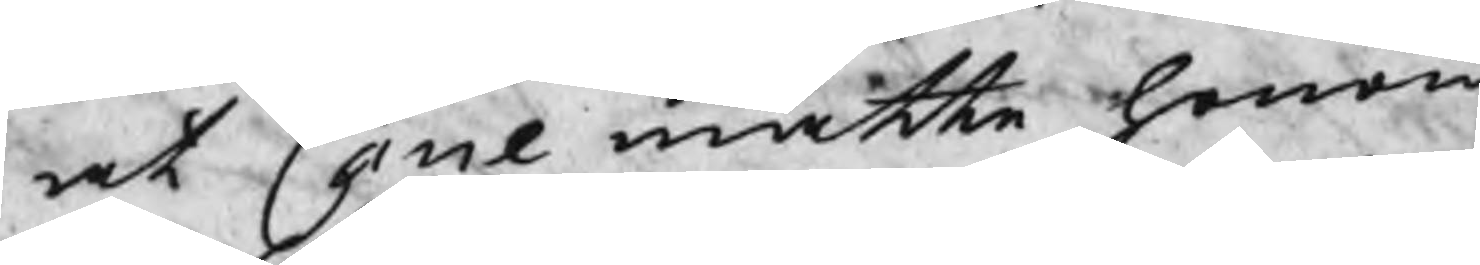at Cane måtte honom
